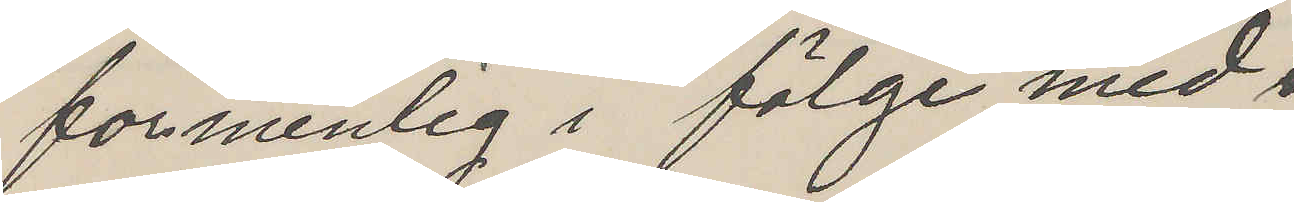formenlig i fölge med
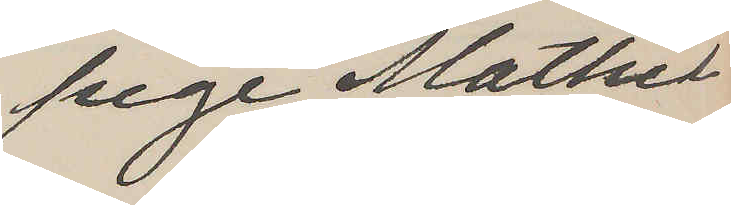pige Mathil¬
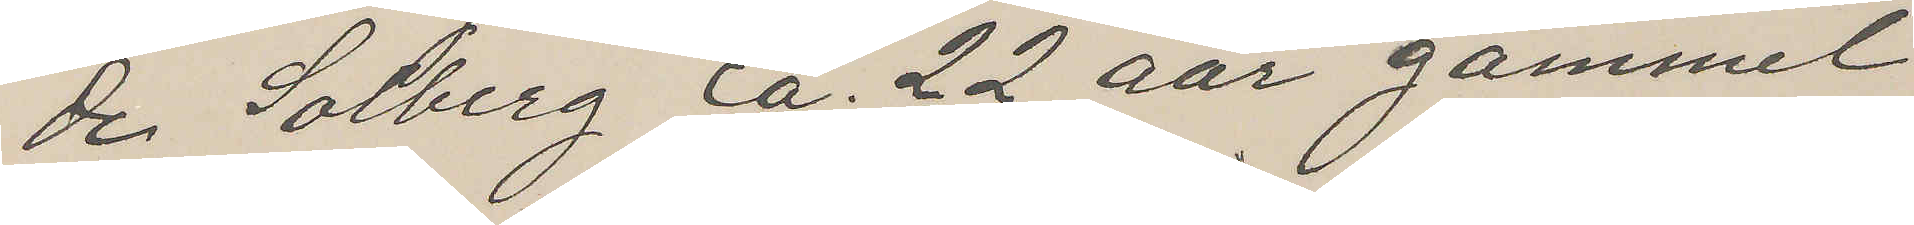de Solberg ca. 22 aar gammel
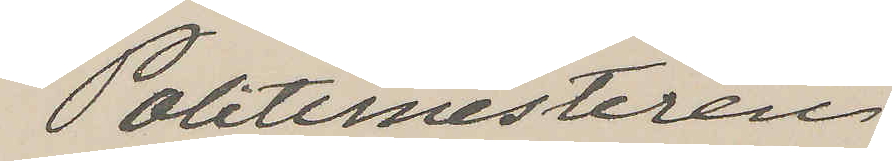Politimesteren
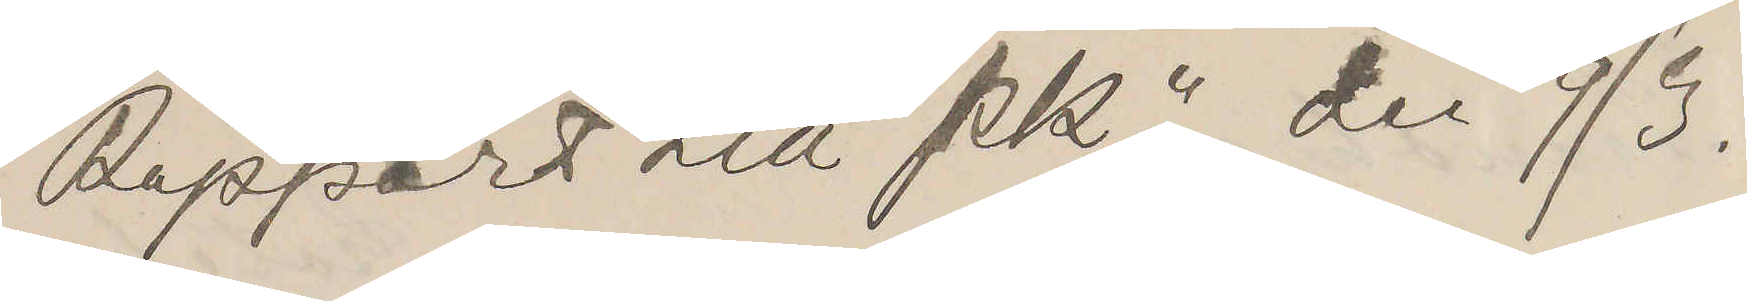Rapport till Pkn den 9/3.
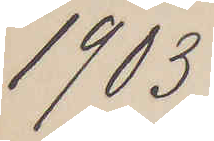1913
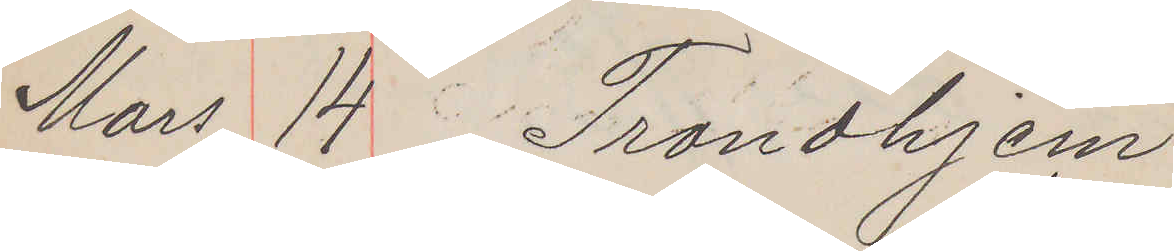Mars 14 Trondhjem
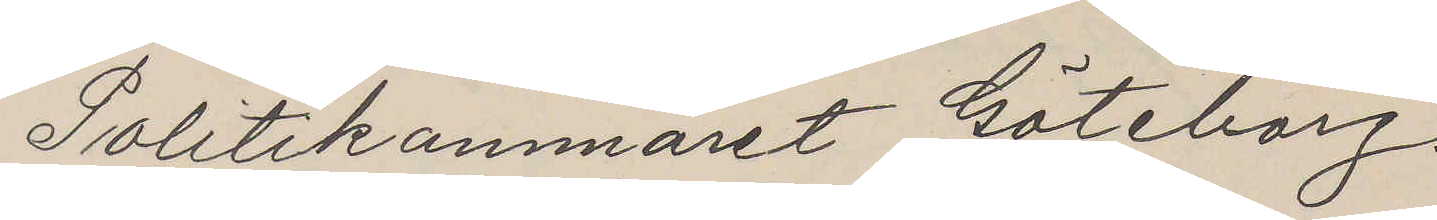Politikammaret Göteborg
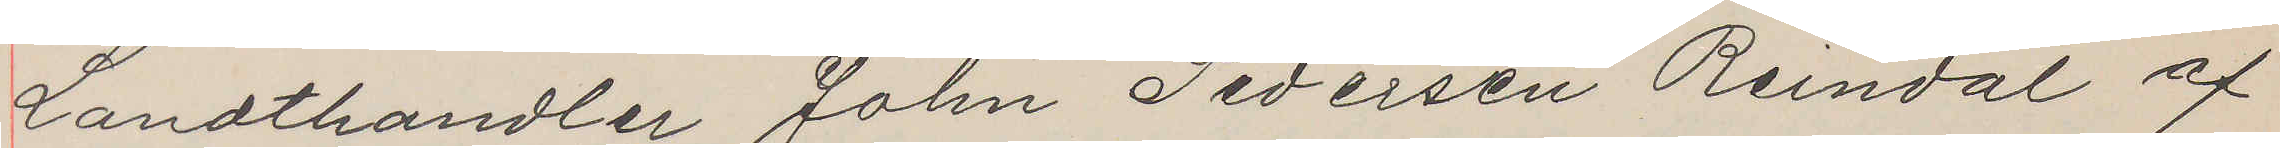Landthandler John Pedersen Reindal af
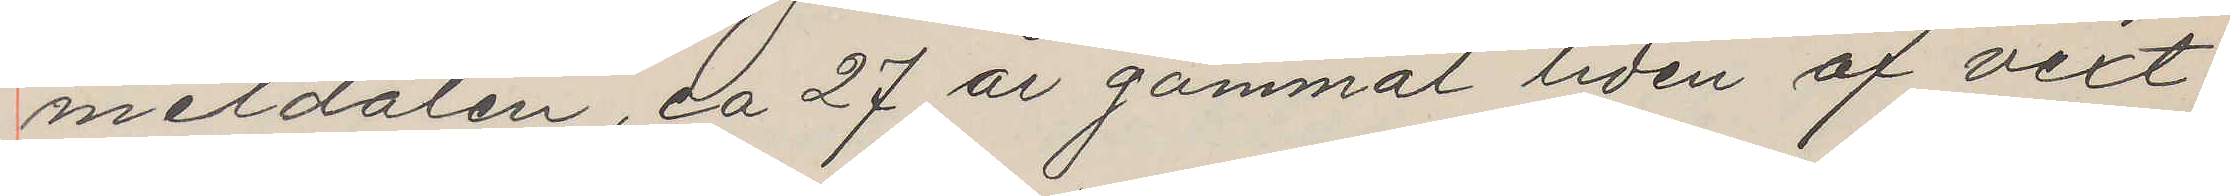meldalen, ca 27 år gammal liden af vext
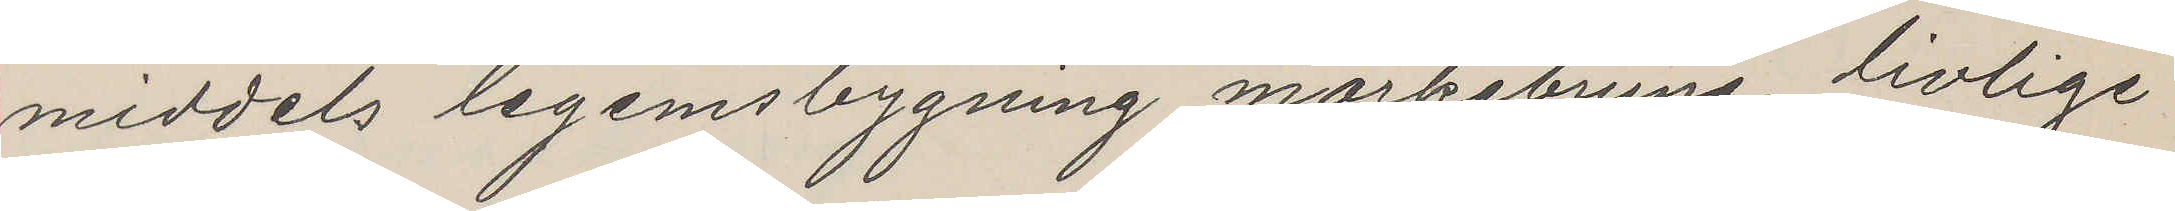middels legemsbygning mörkebrune livlige
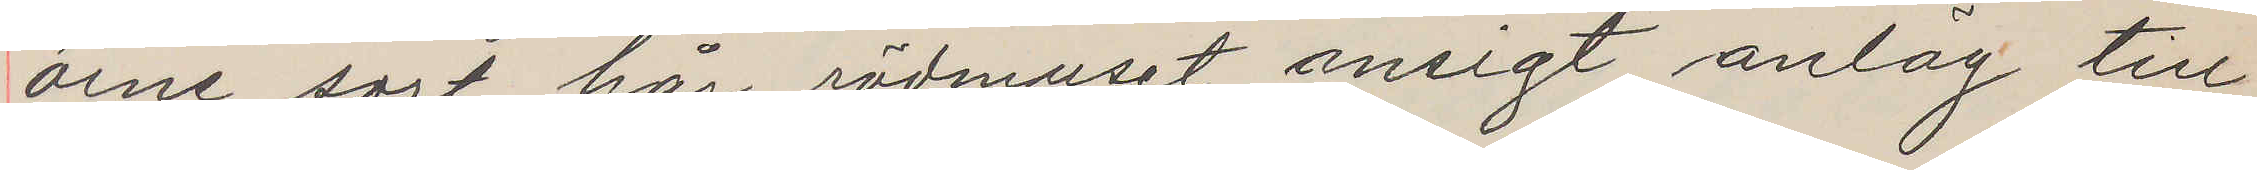öine, sort hår, rödmuset ansigt anläg till
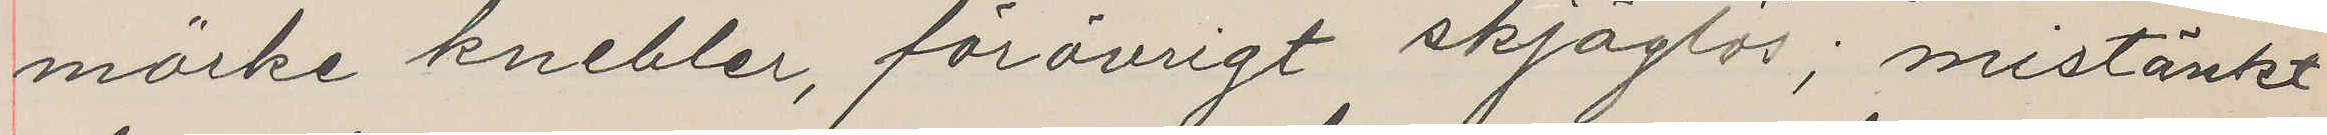mörke knebler, förvörigt skjäglös; mistänkt
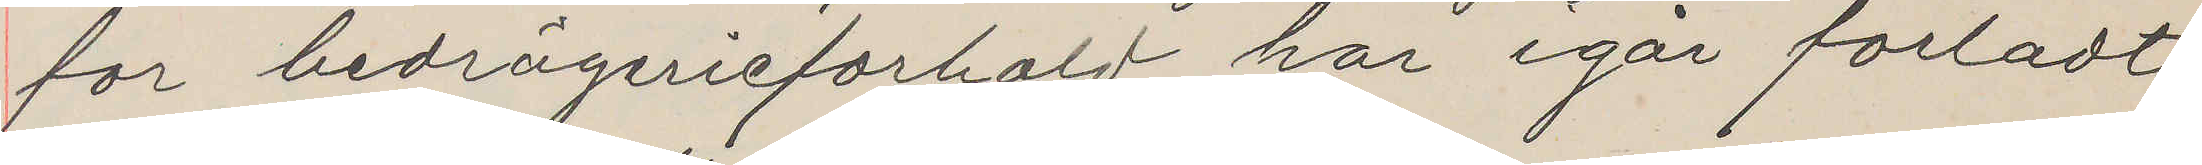för bedrägerieforhold, har igår forladt
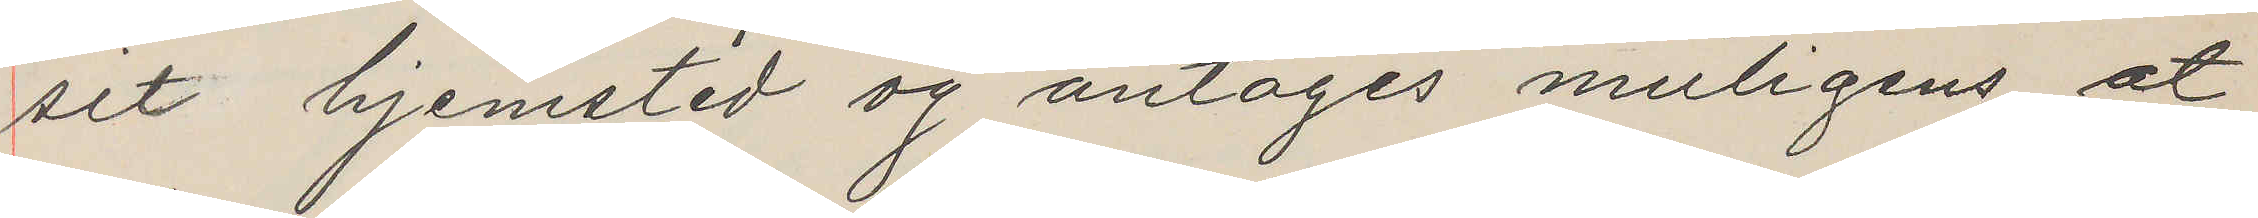sit hjemsted og antages muligens at
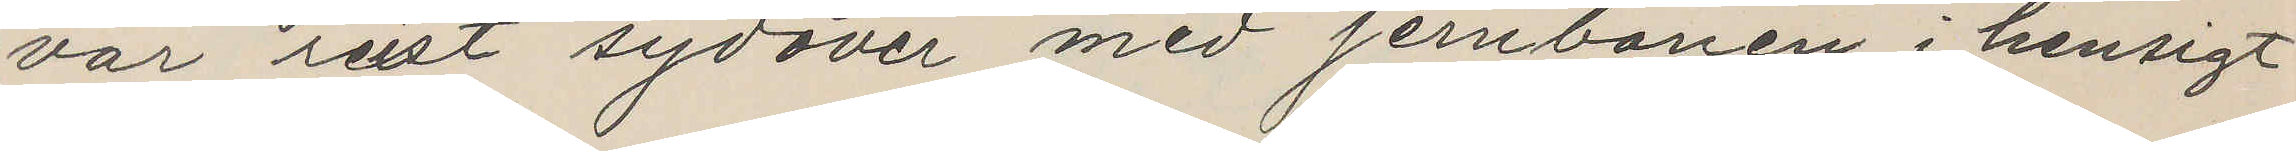vär sist sydover med jernbanen i hensigt
